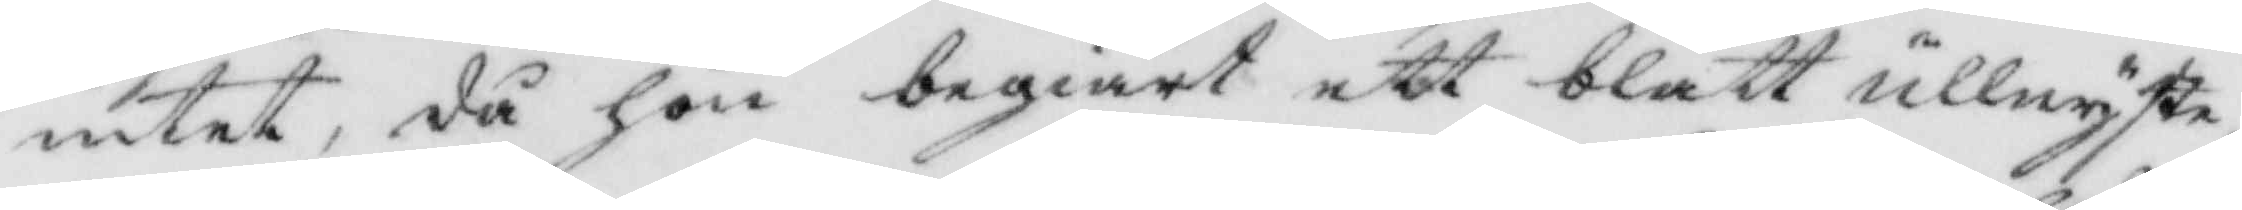intet, då hon begiärt ett blått Ullnyste,
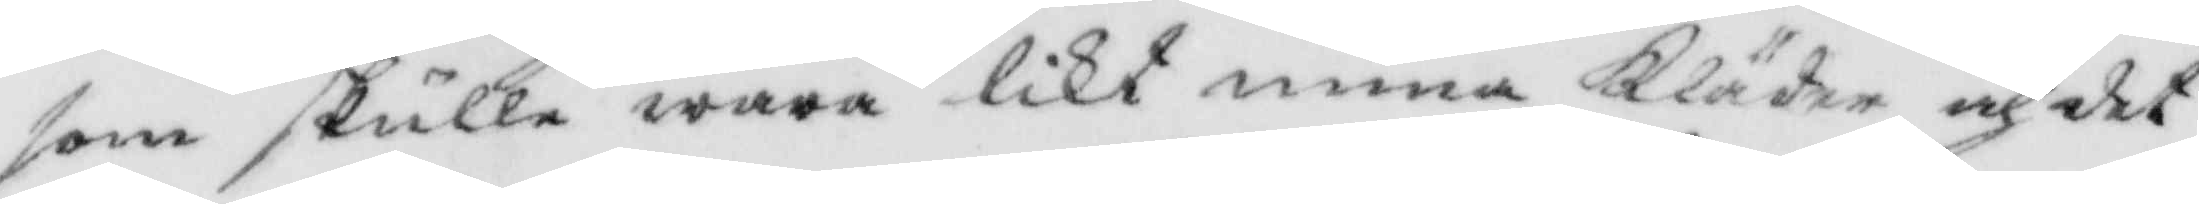som skulle wara likt mina Kläder och det
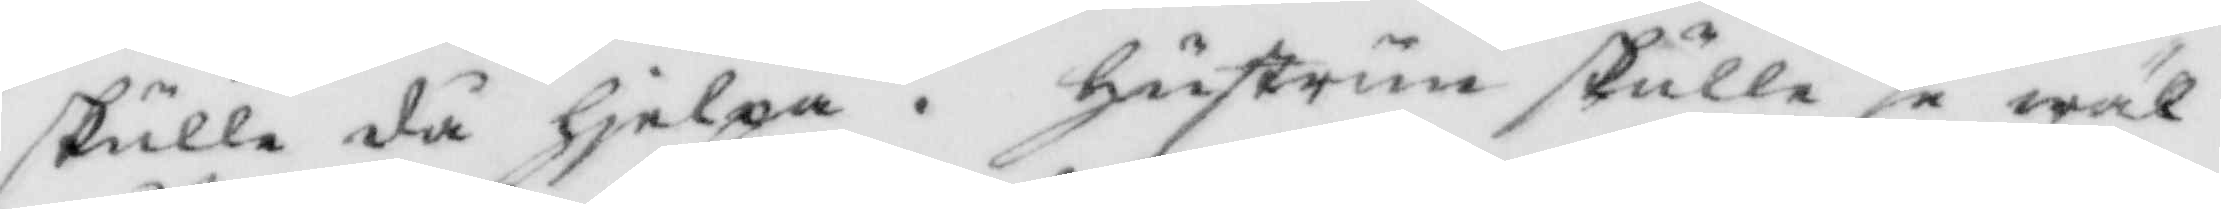skulle då hjelpa. hustrun skulle se wäl
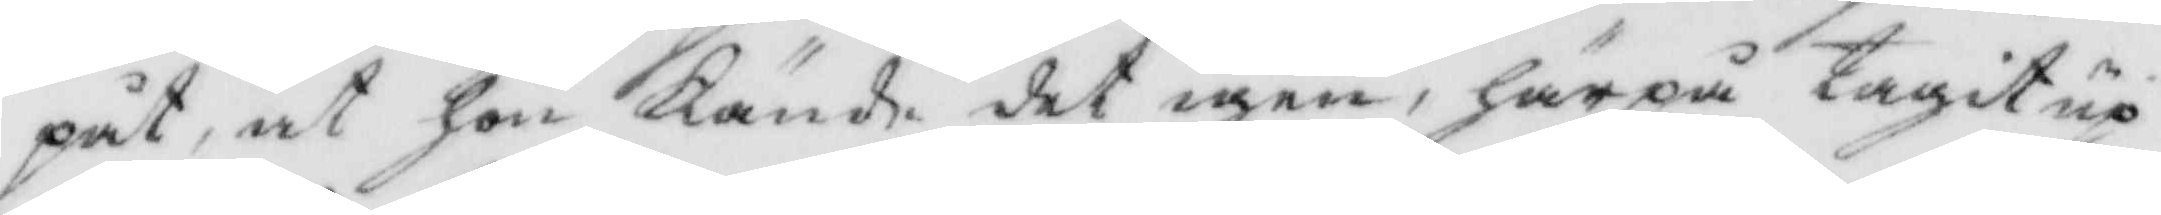påt, at hon Kände det igen, härpå tagit up
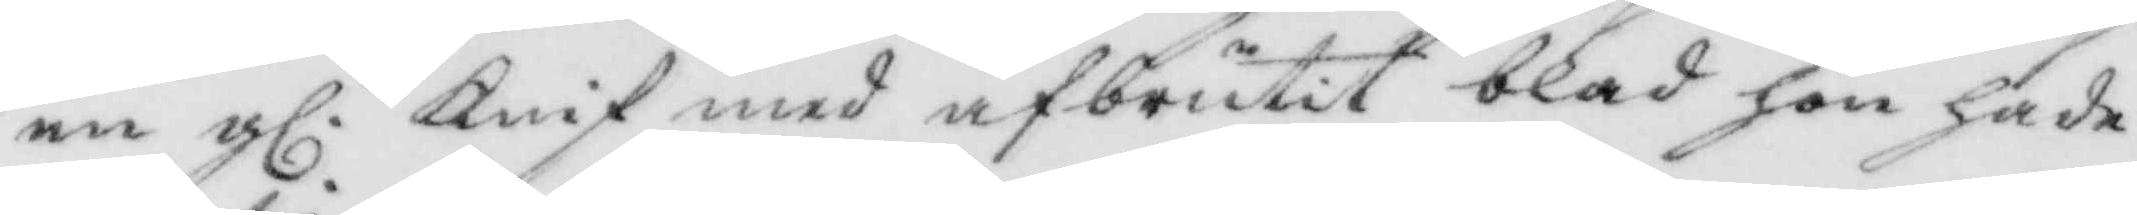en gl. Knif med afbrutit blad hon hade
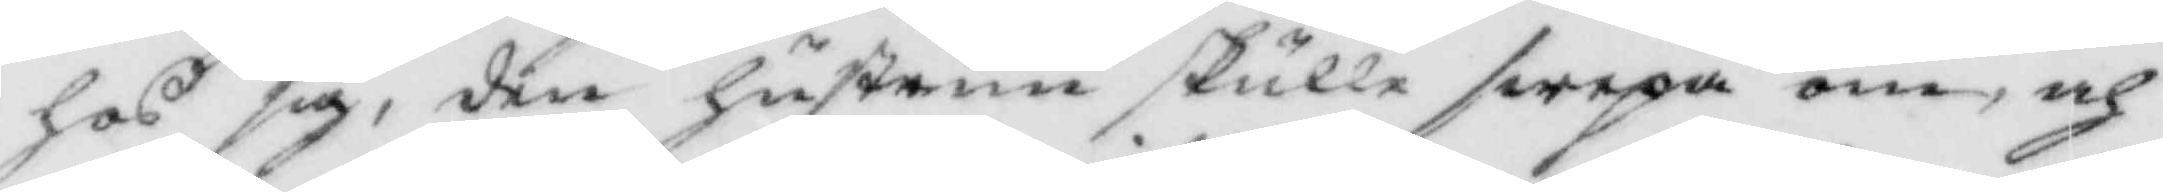hos sig, den hustrun skulle swepa om, och
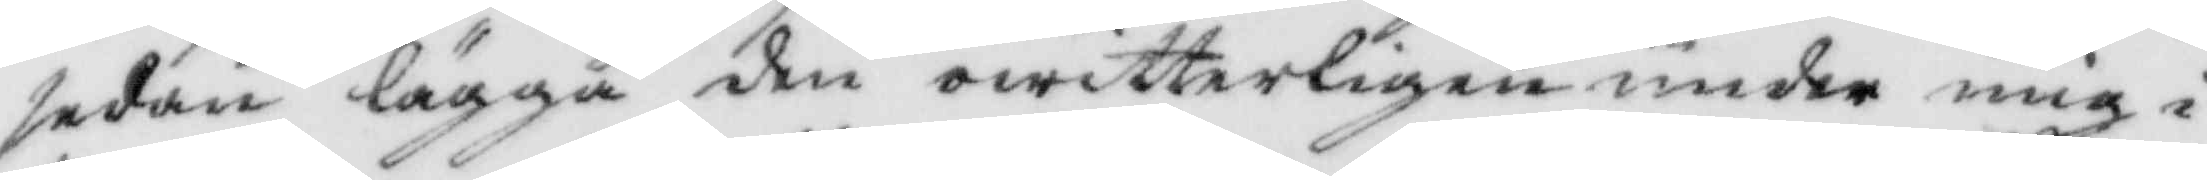sedan lägga den owitterligen under mig i
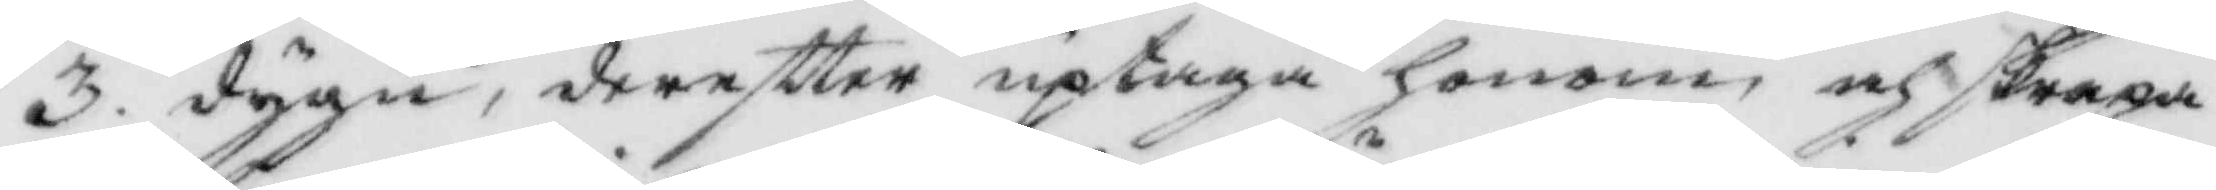3. dygn, dereftter uptaga honom och skrapa
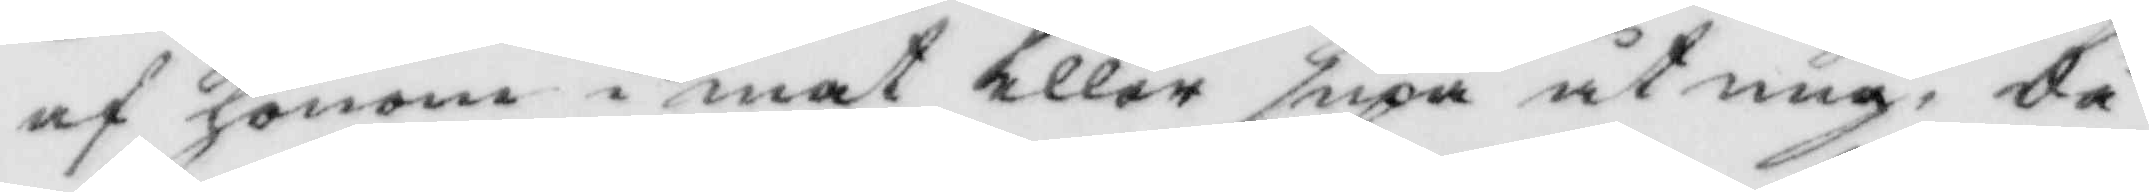af honom i mat eller supa åt mig, Så
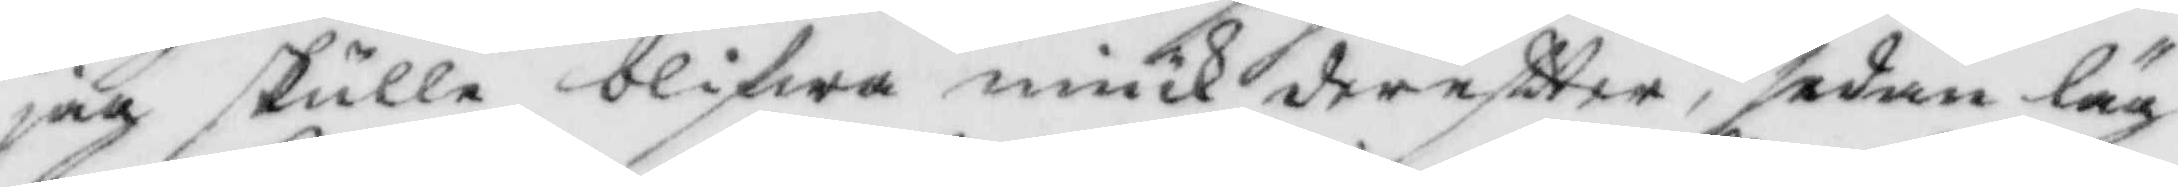jag skulle blifwa miuk dereftter, sedan läg¬
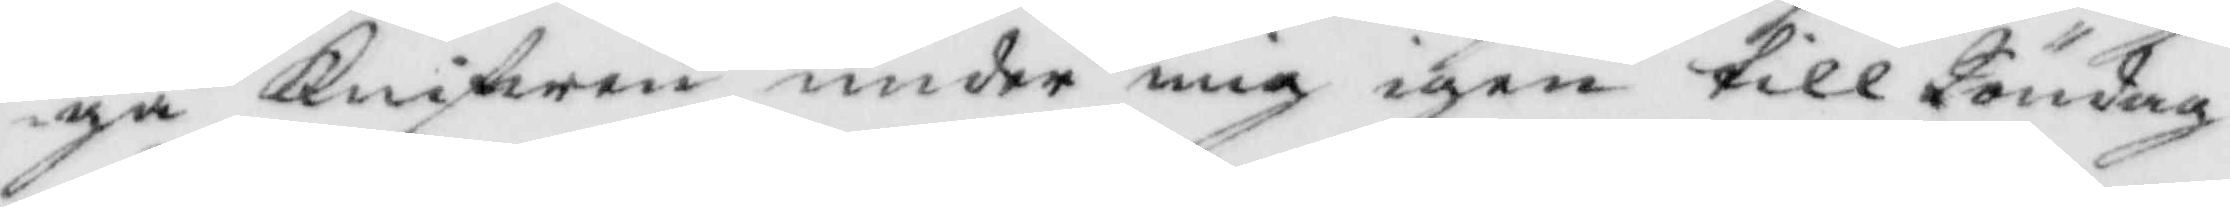ga Knifwen under mig igen till Söndag
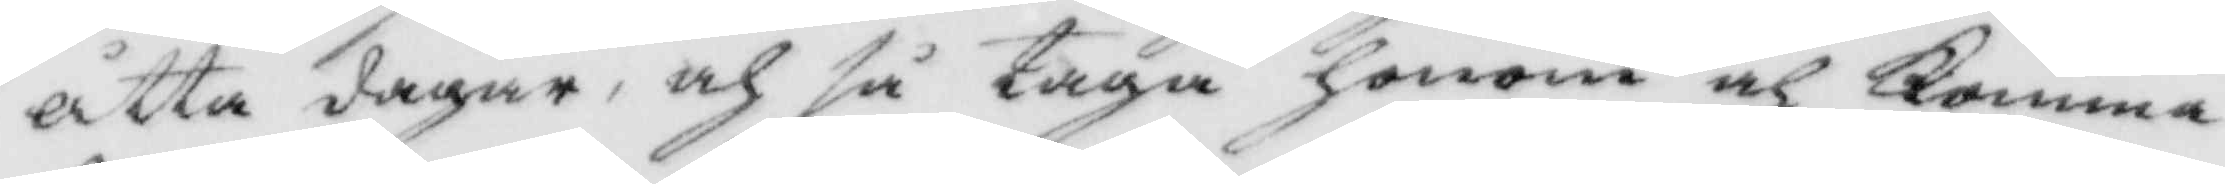åtta dagar, ochh så taga honom och Komma
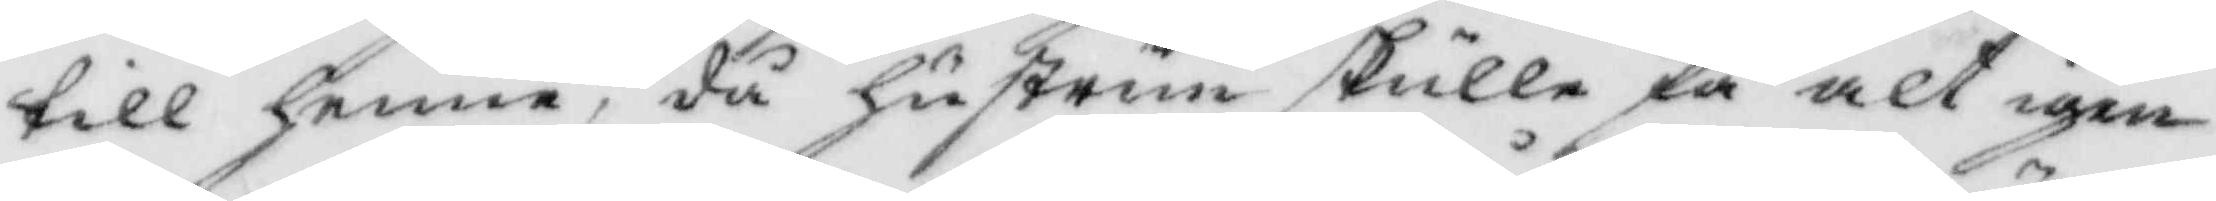till henne, då hustrun skulle få alt igen
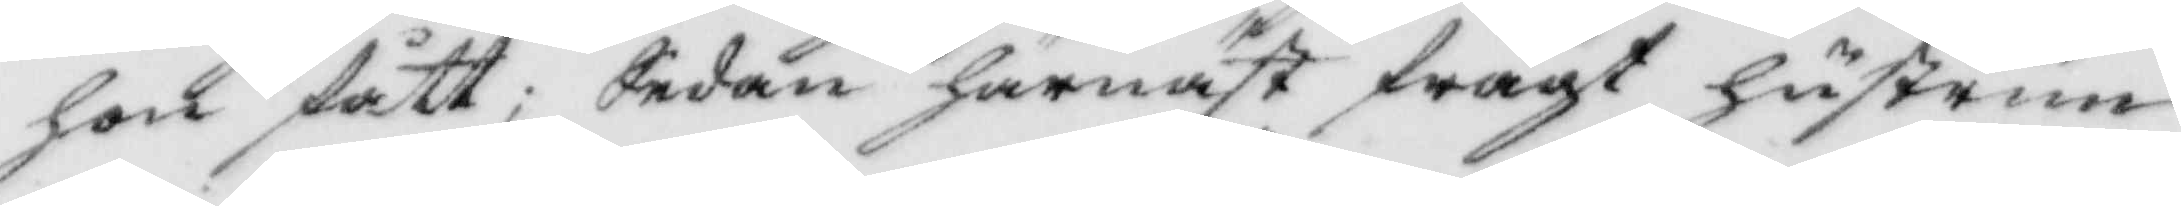hon fått; Sedan härnäst frågat hustrun
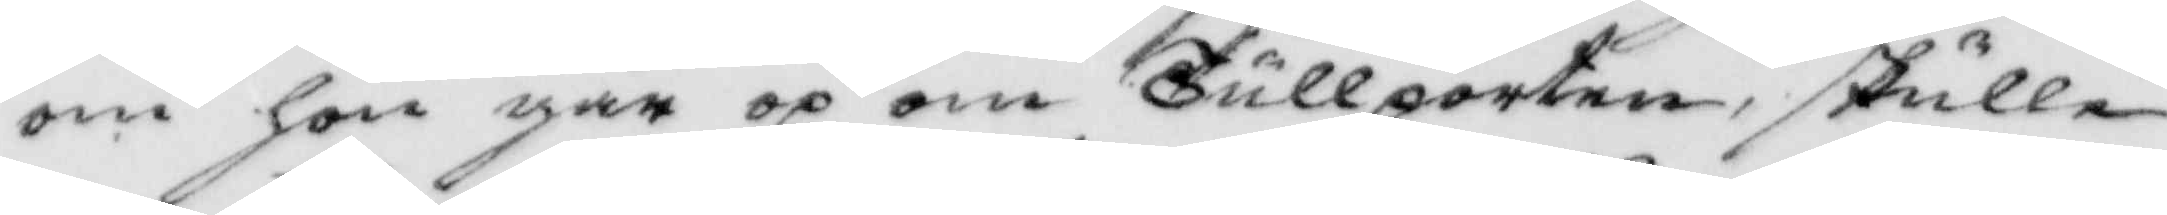om hon går op om Tullporten, skulle
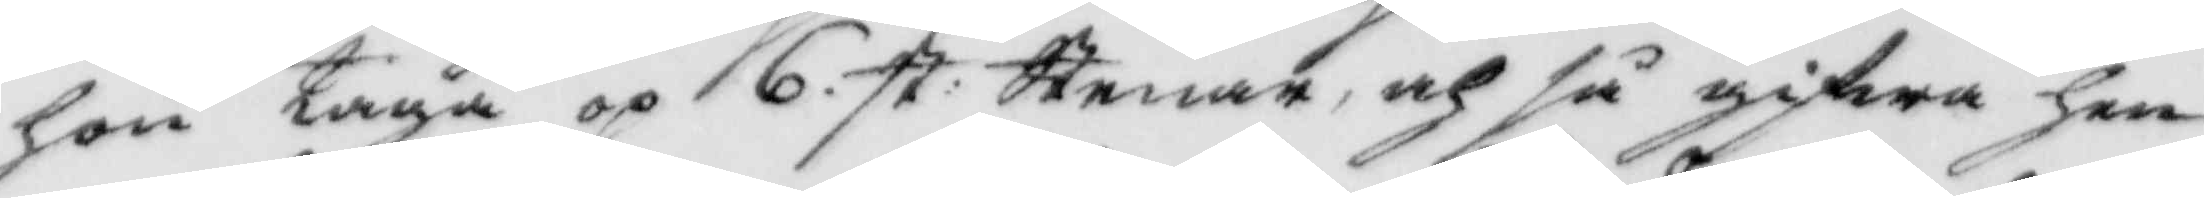hon taga op 6 st: Stenar, och så gifwa hen¬
